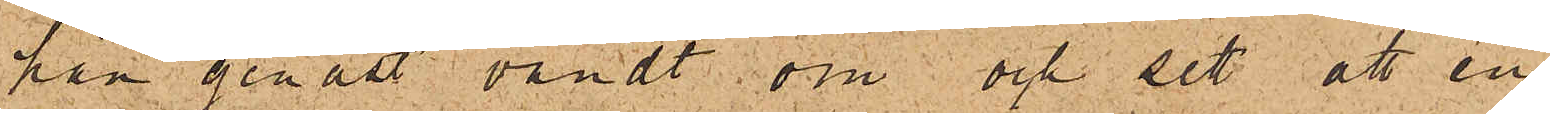han genast vändt om och sett att en
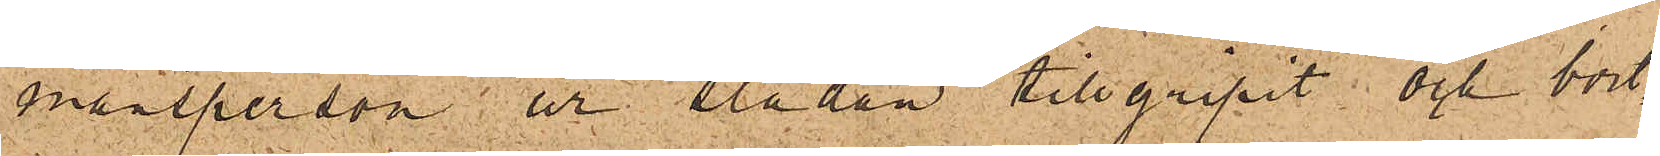mansperson ur släden tillgripit och bort¬
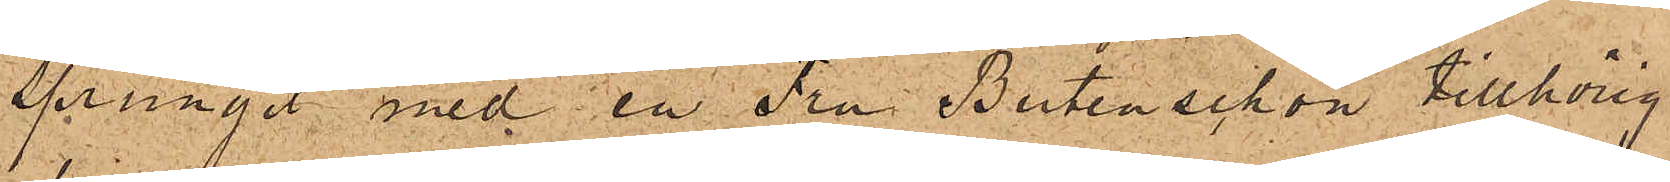sprungit med en Fru Butenschön tillhörig
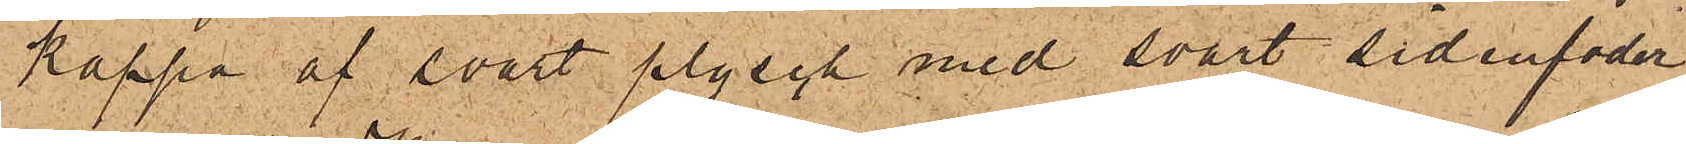kappa af svart plysch med svart sidenfoder
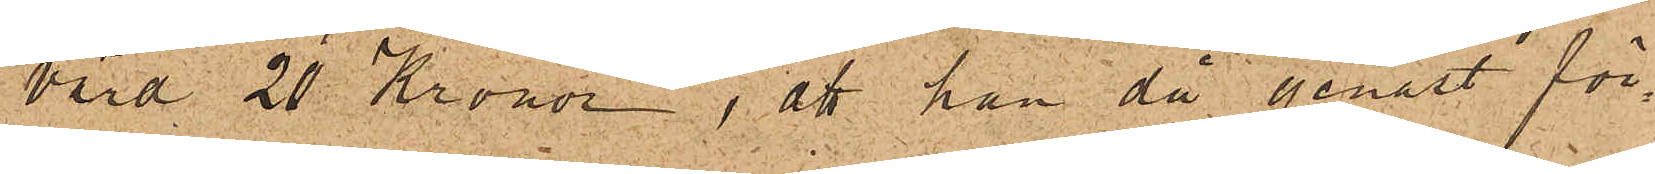värd 20 Kronor; att han då genast för¬
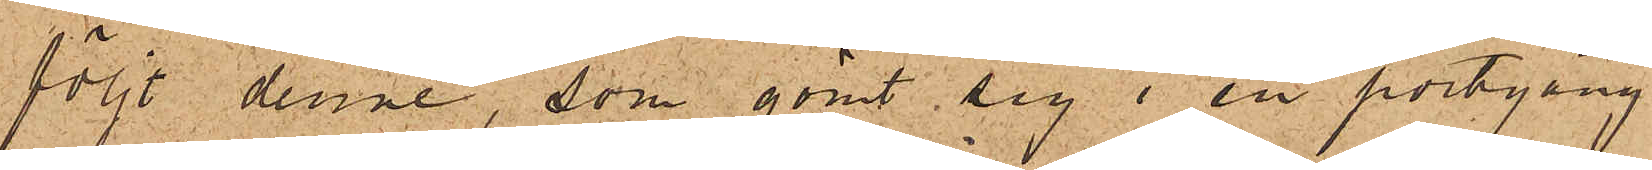följt denne, som gömt sig i en portgång
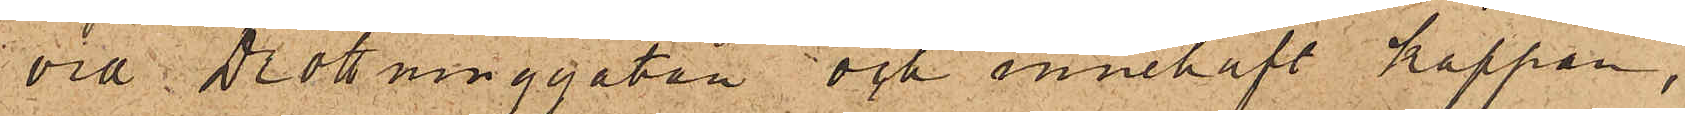vid Drottninggatan och innehaft kappan;
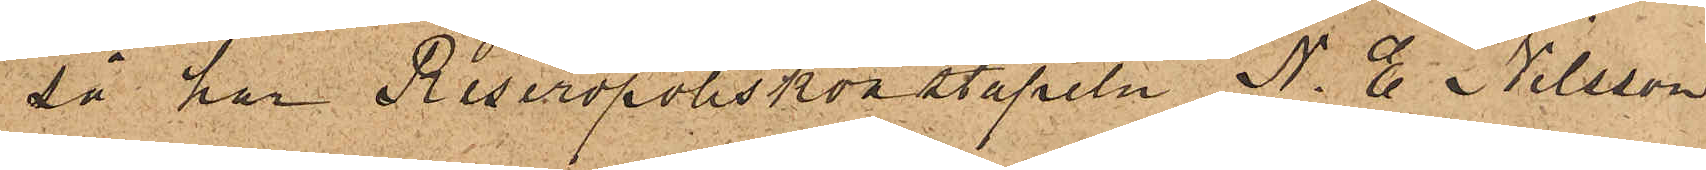så har Reservpoliskonstapeln N. E. Nilsson
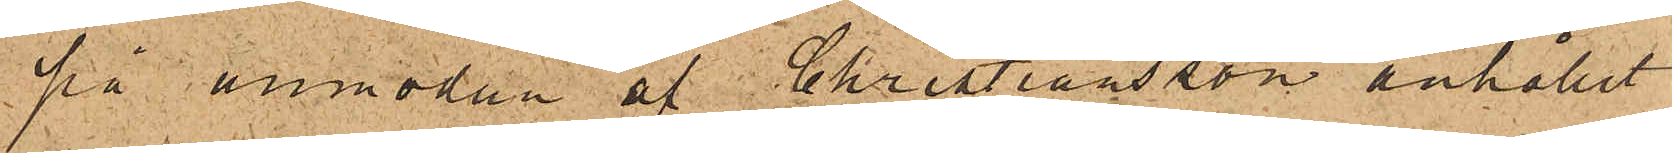på anmodan af Christiansson anhållit
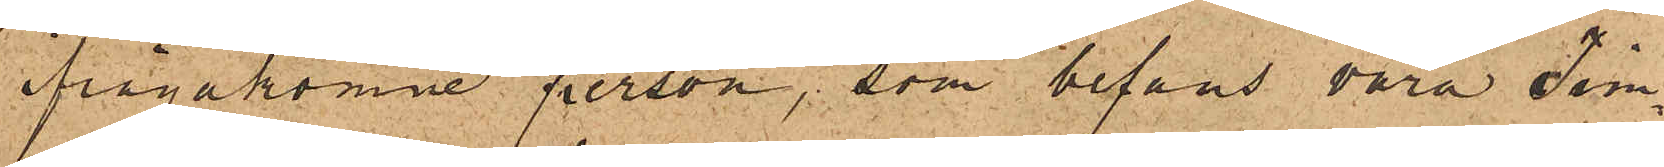ifrågakomne person, som befans vara Tim¬
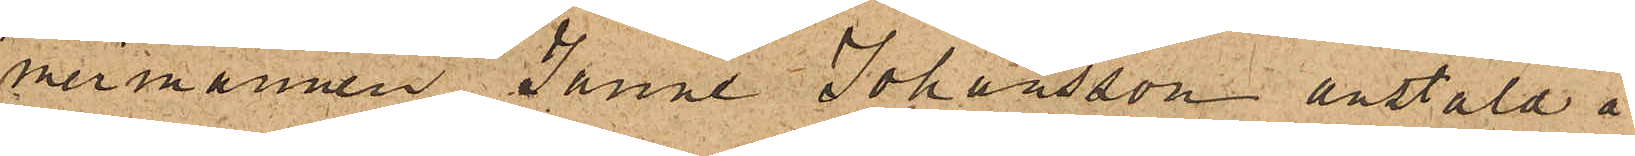mermannen Janne Johansson anstäld å
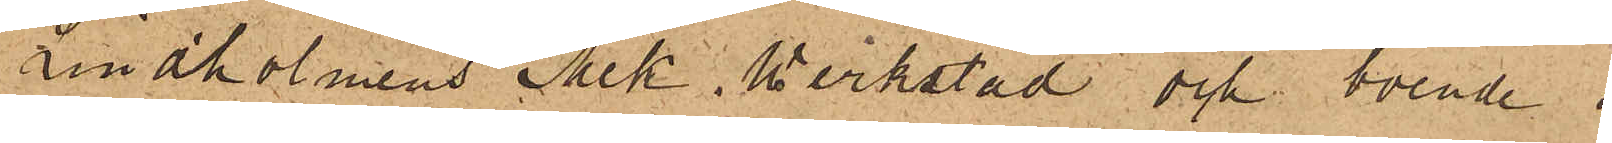Lindholmens Mek. verkstad och boende i
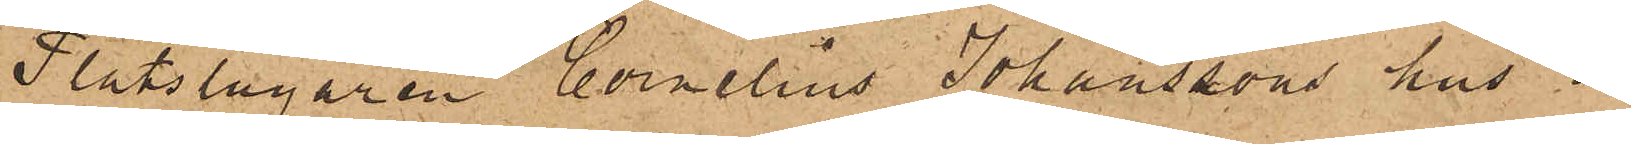Plåtslagaren Cornelius Johanssons hus å
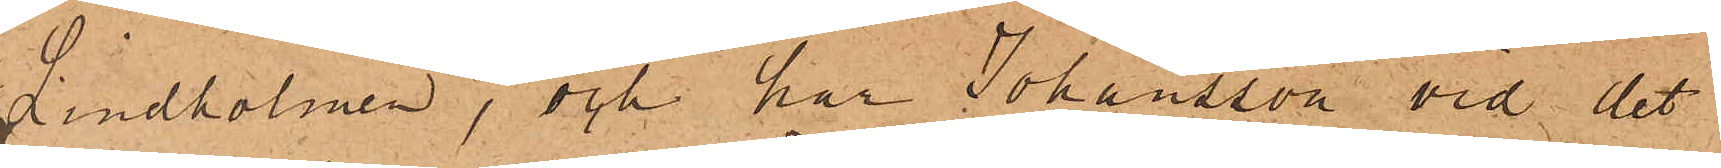Lindholmen, och har Johansson vid det
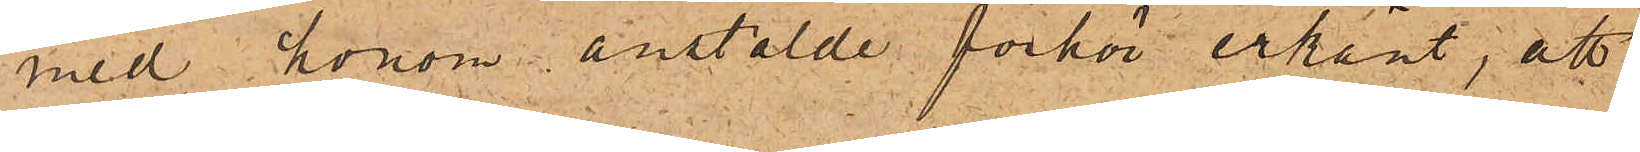med honom anstälde förhör erkänt; att
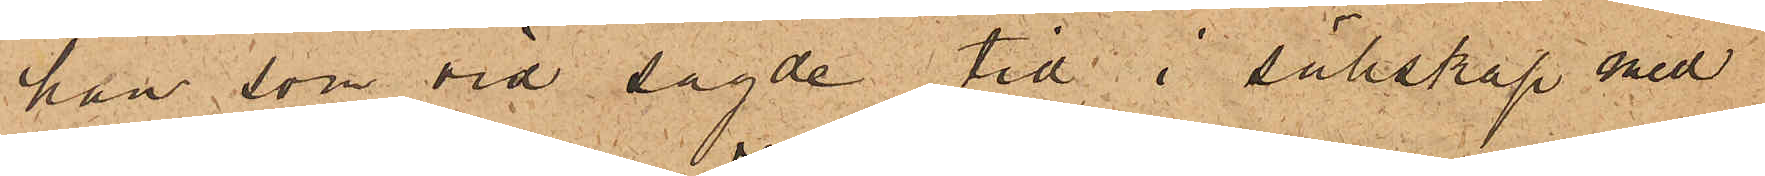han, som vid sagde tid i sällskap med
